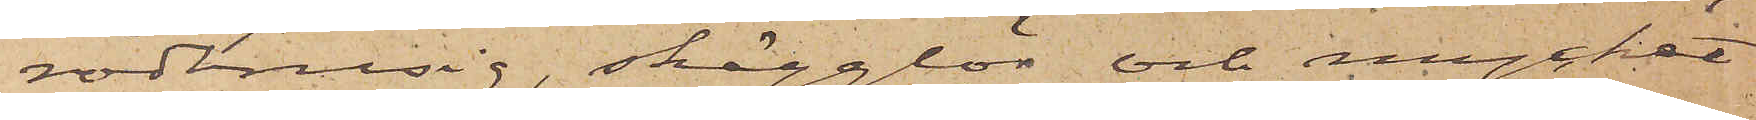rödbrusig, skägglös och mycket
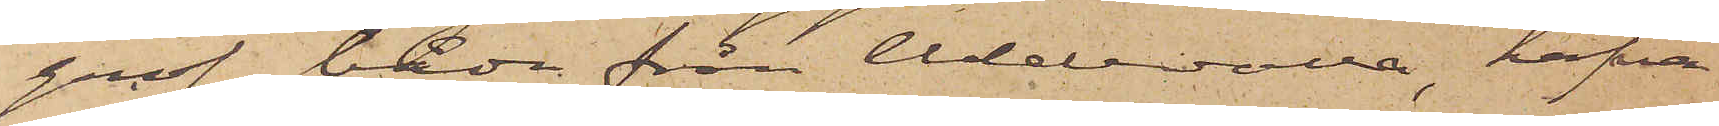grof, båda från Uddevalla, hafva
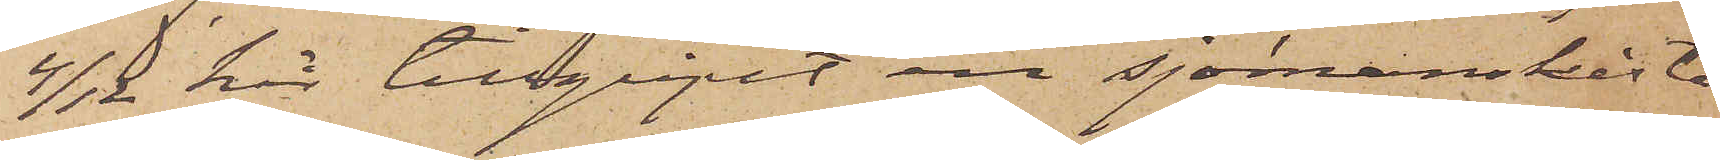4/12 här tillgripit en sjömanskista
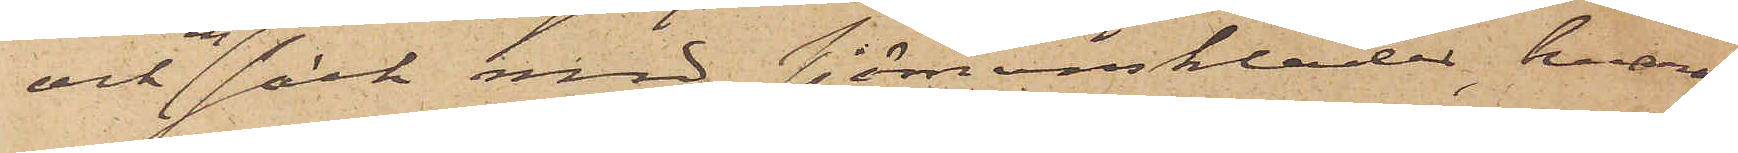och en säck med sjömanskläder, hvaraf
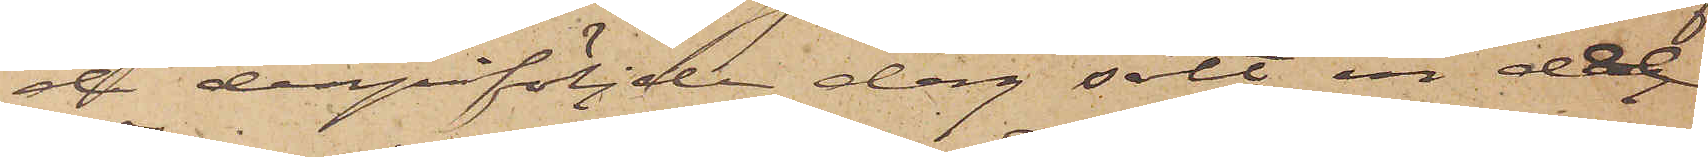de derpåföljde dag sålt en del
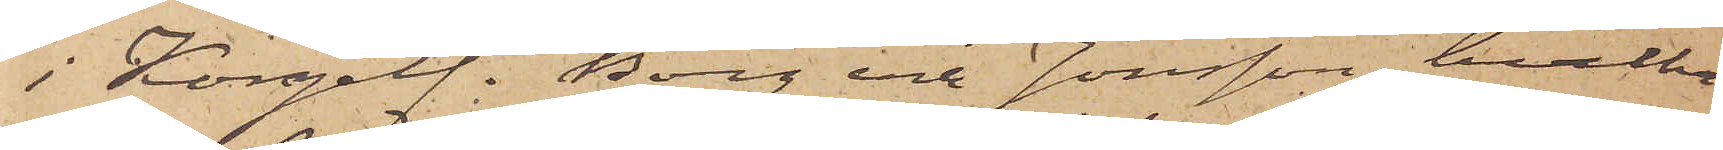i Kongelf. Borg och Jonsson, hvilka
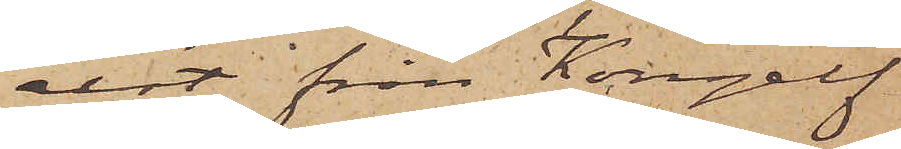rest från Kongelf
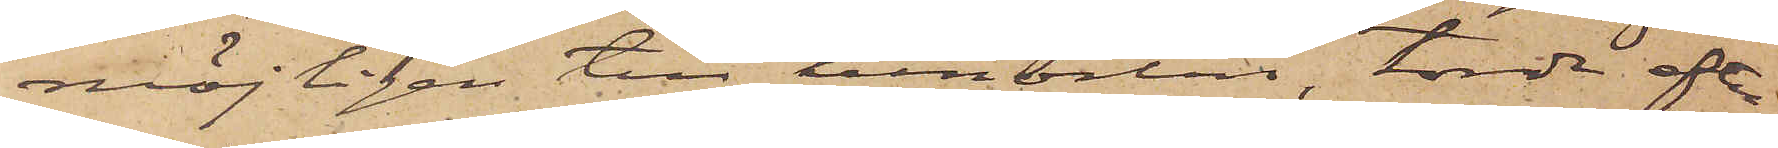möjligen till hemorten, torde efter¬
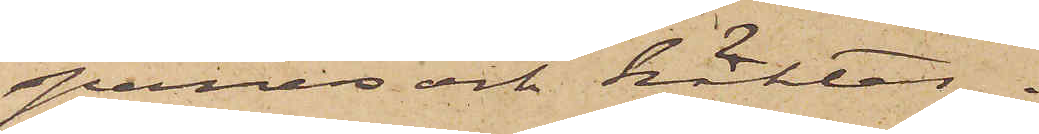spanas och häktas.
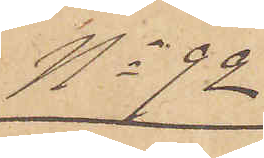No 92
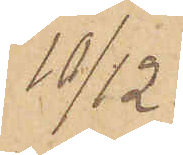10/12.
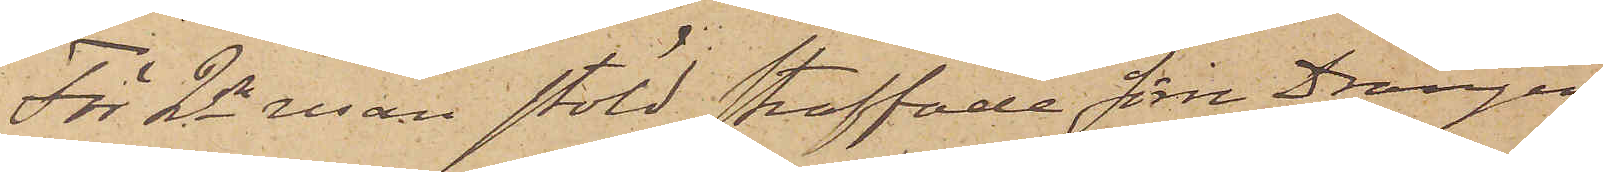För 2dra resan stöld straffade förre Drängen
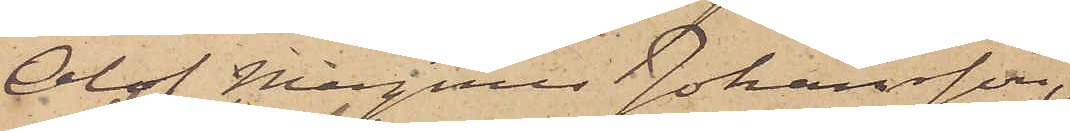Olof Magnus Johansson,
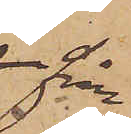från
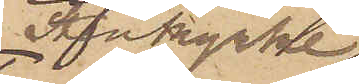Stenkyrke
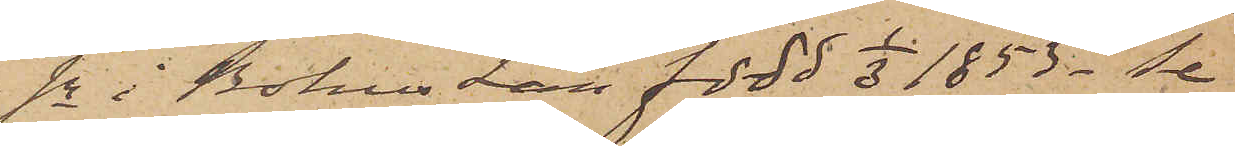sn i Bohus Län född 1/3 1853 _ Se
